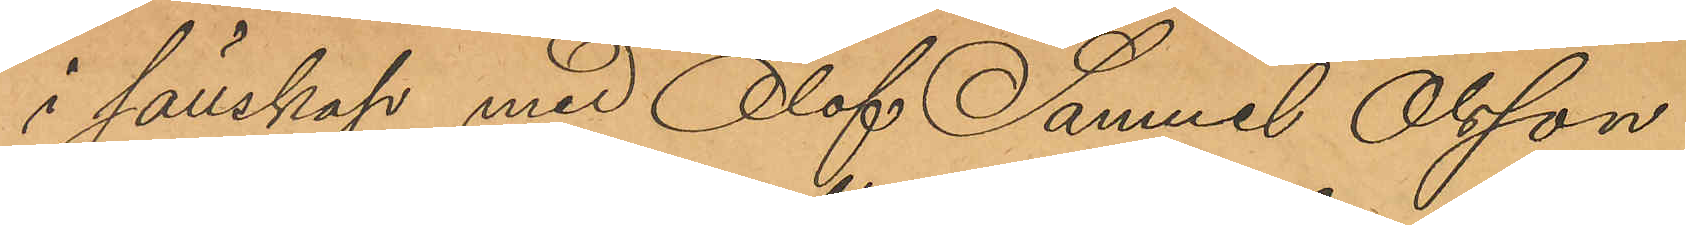i sällskap med Olof Samuel Olsson
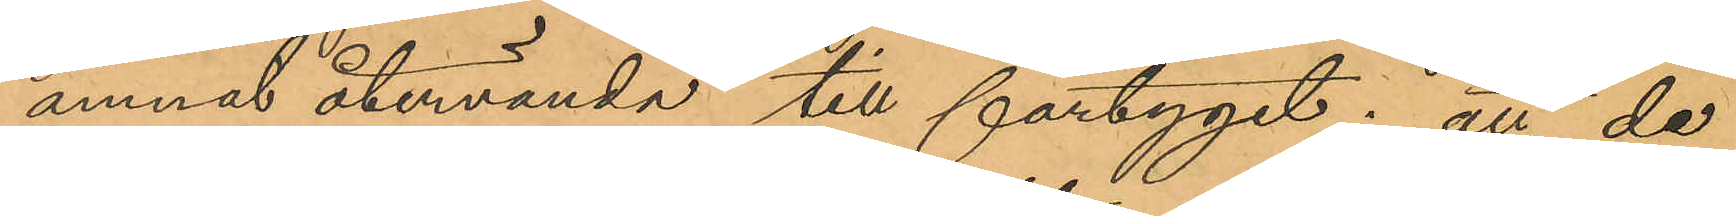ämnat återvända till fartyget; att de
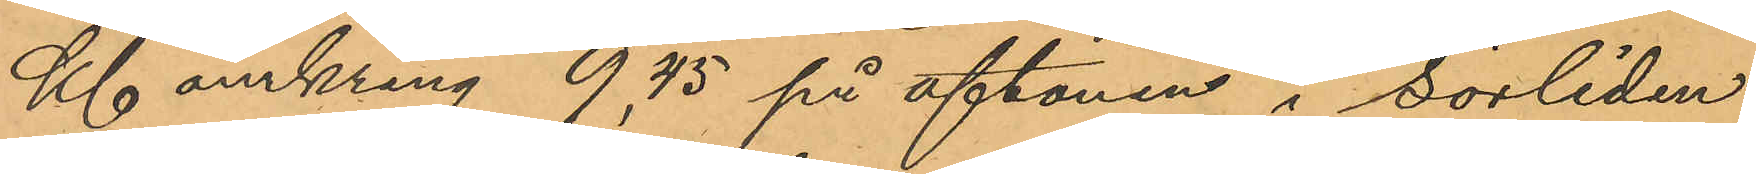Kl omkring 9,45 på aftonen i Sörliden
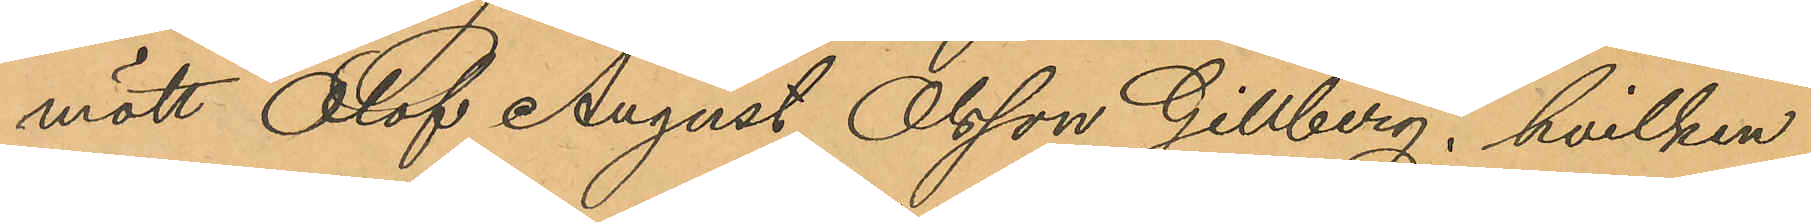mött Olof August Olsson Gillberg, hvilken
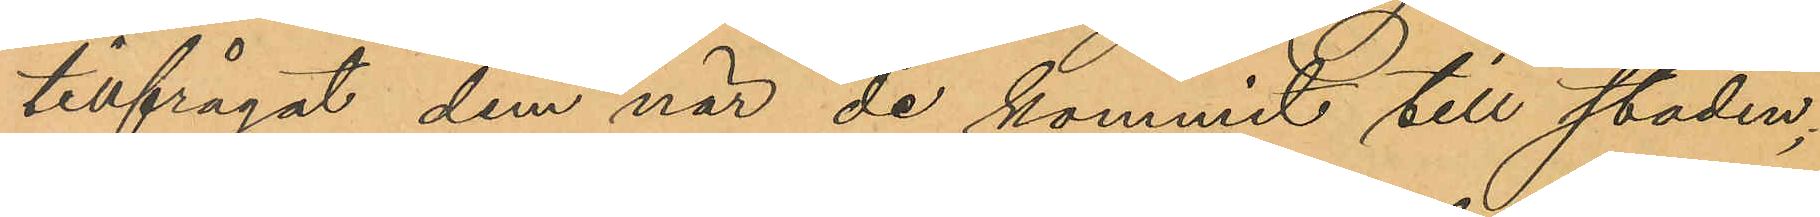tillfrågat dem när de kommit till staden;
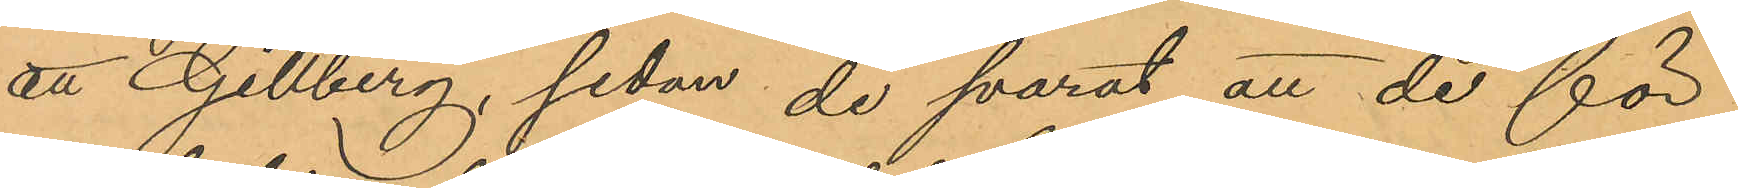att Gillberg, sedan de svarat att de för
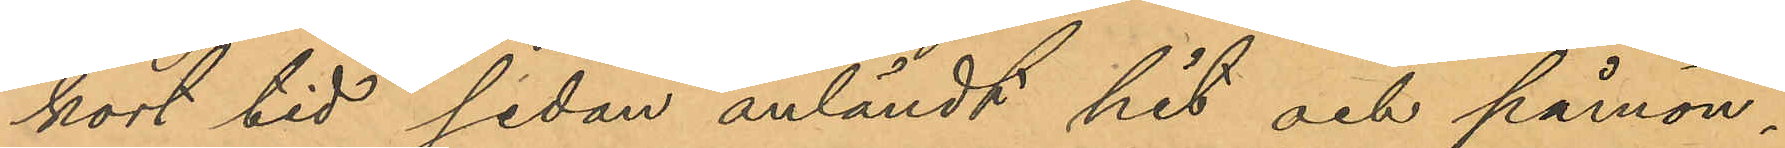kort tid sedan anländt hit och påmön¬
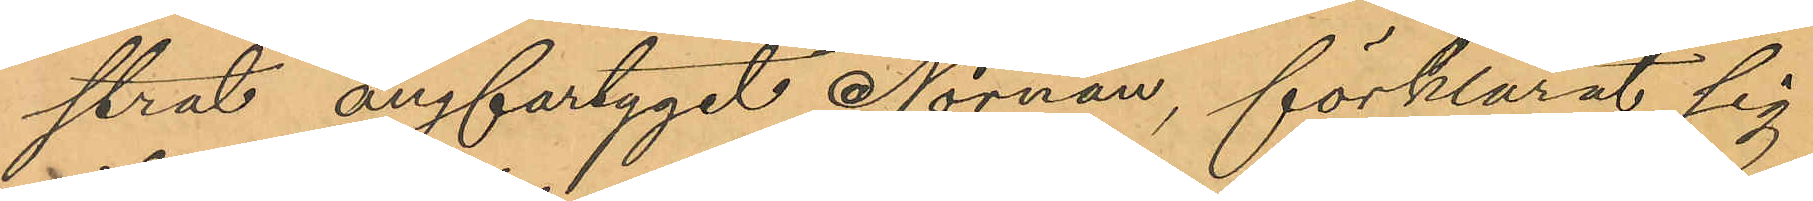strat ångfartyget Nornan, förklarat sig
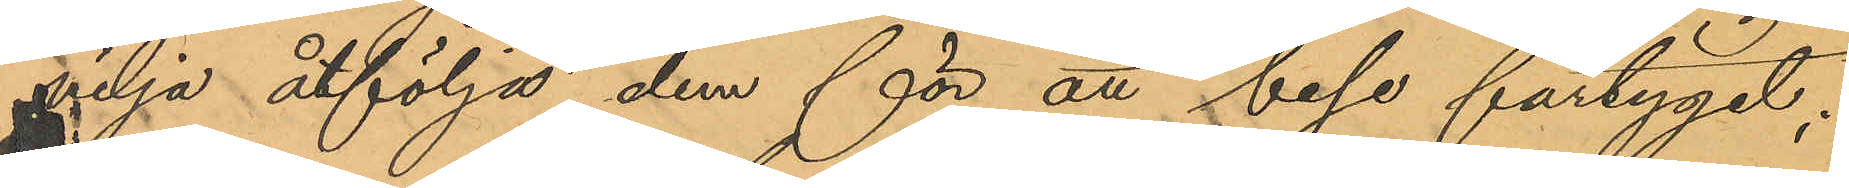vilja åtfölja dem för att bese fartyget;
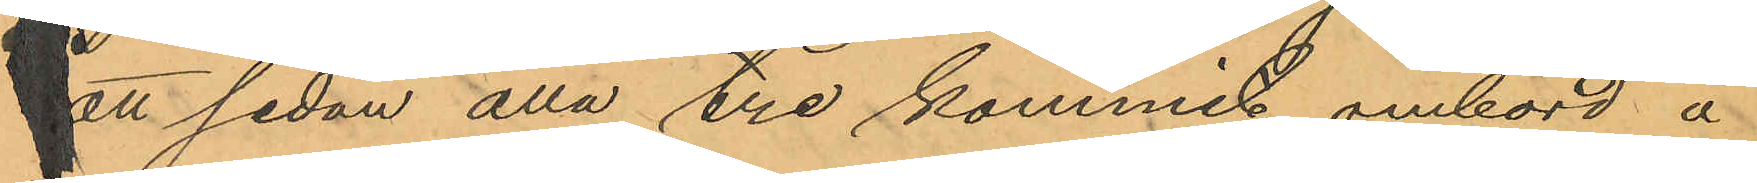att sedan alla tre kommit ombord å
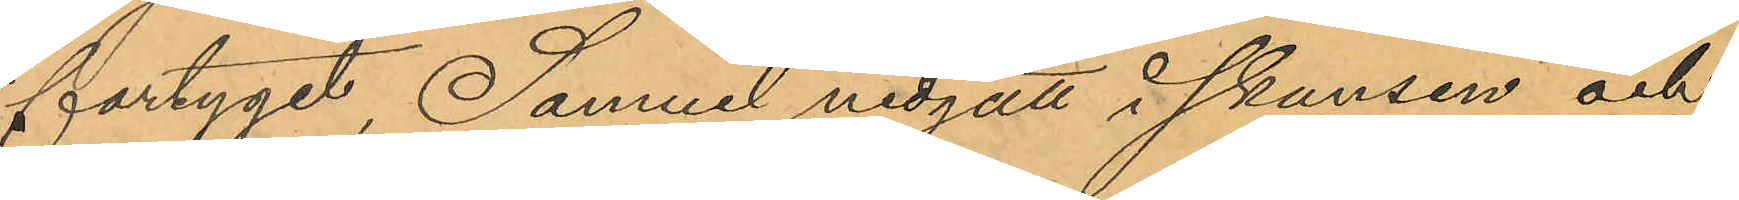fartyget, Samuel nedgått i skansen och
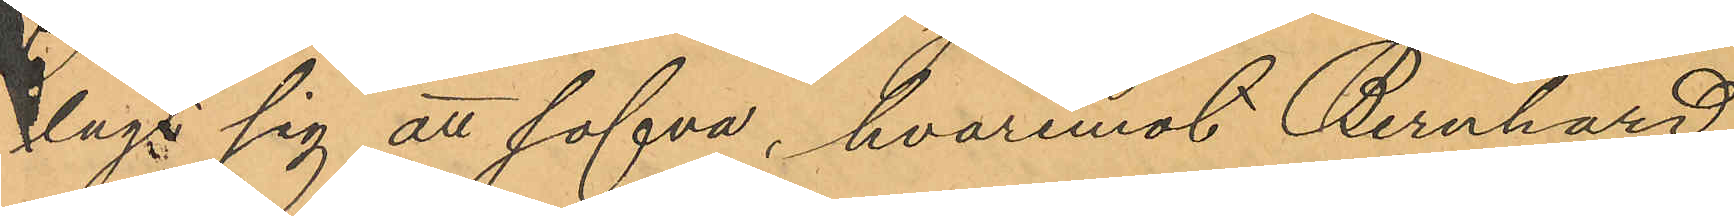lags sig att sofva, hvaremot Bernhard
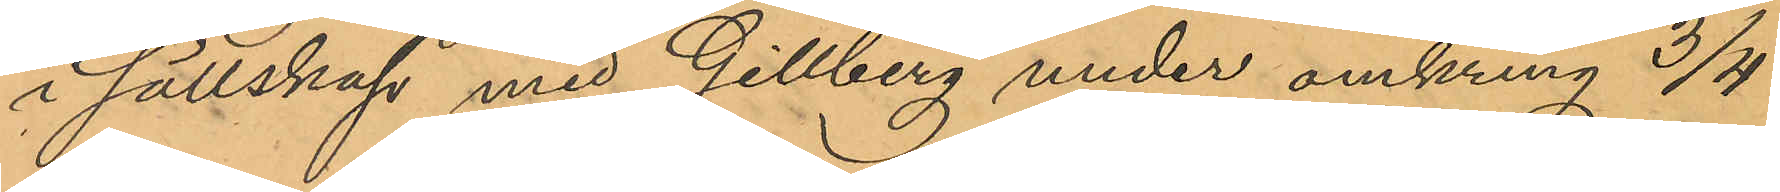i sällskap med Gillberg under omkring 3/4
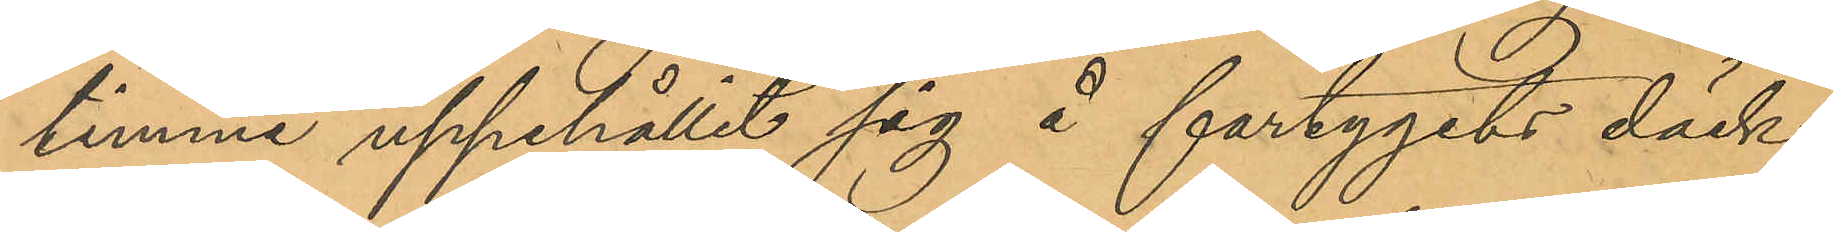timme uppehållit sig å fartygets däck;
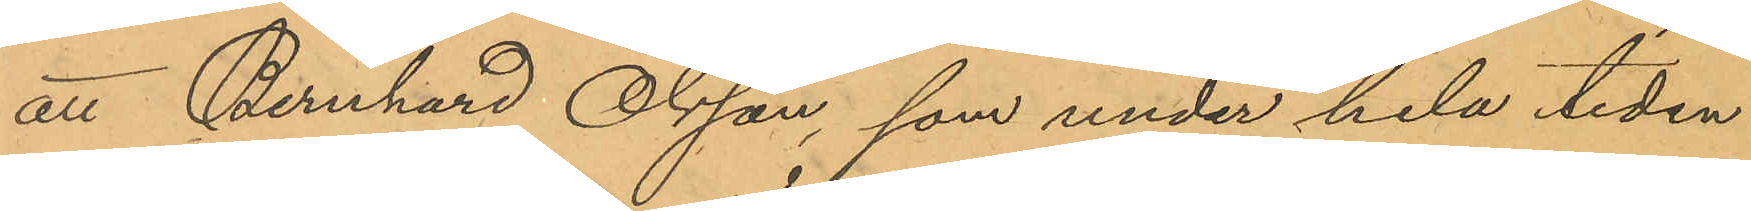att Bernhard Olsson, som under hela tiden
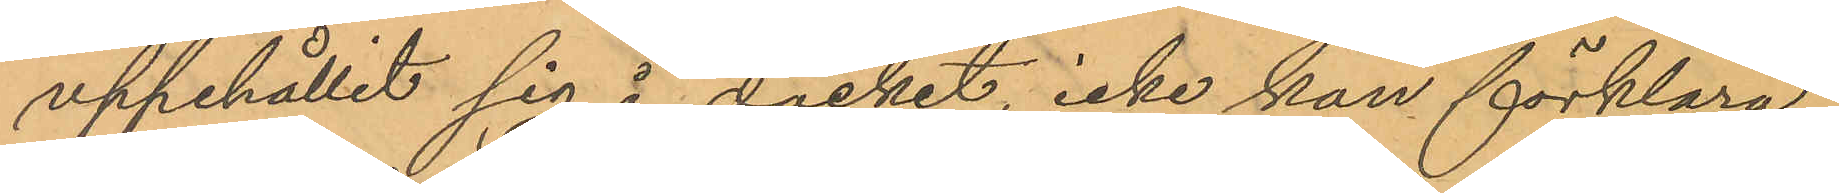uppehållit sig å däcket, icke kan förklara
